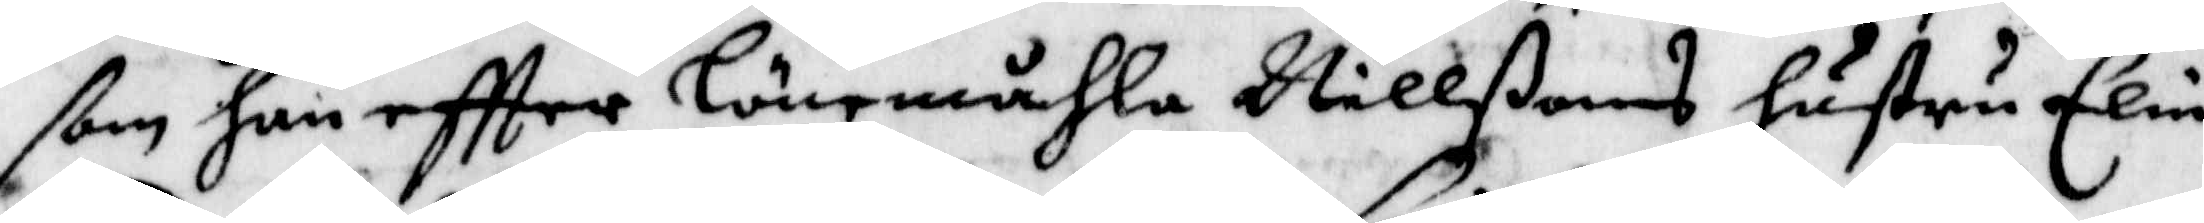ßom han eftter Lönemåhla Nillßons hustru Elin
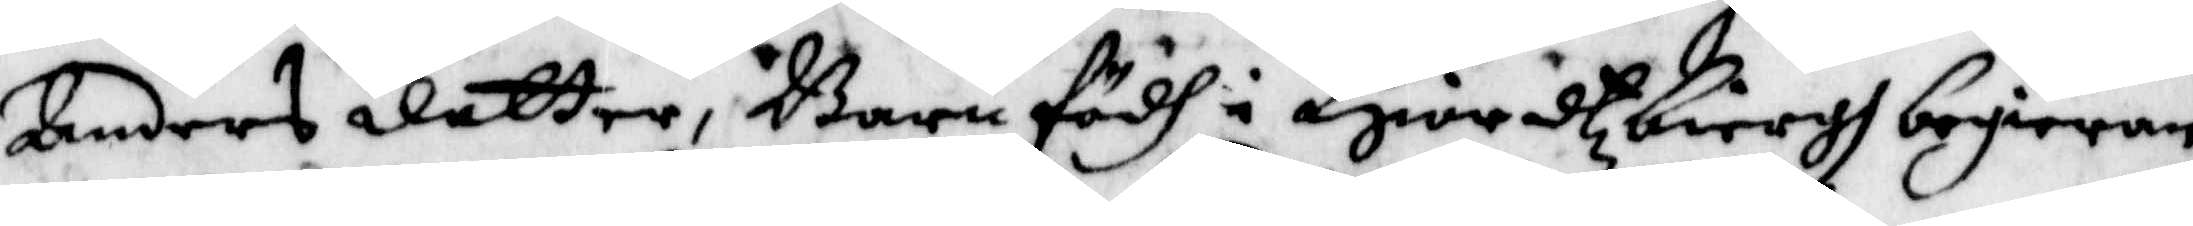Anders dotter, Barnfödh i Hiordtxbergh begieran
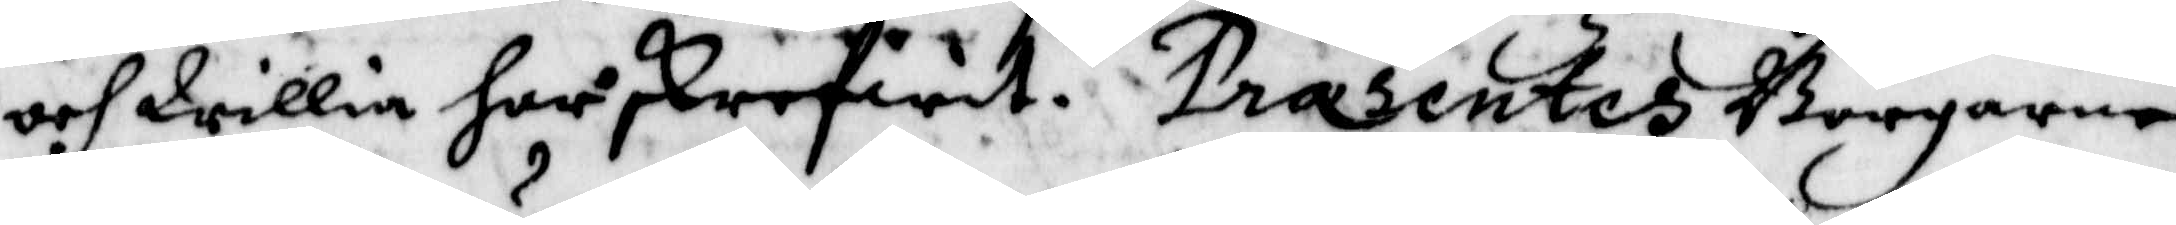och Willia har skrefwet. Præsentes Borgaren
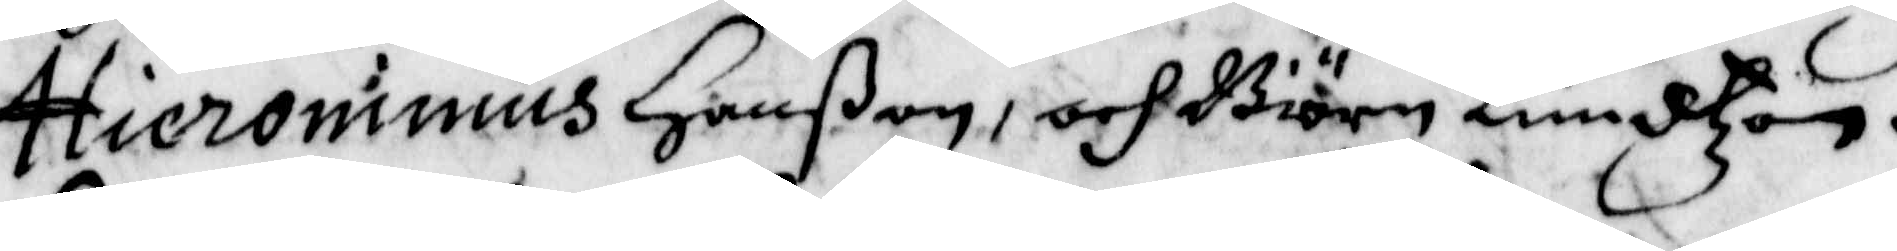Hieronimus Hanßon, och Biörn Knudtzon.
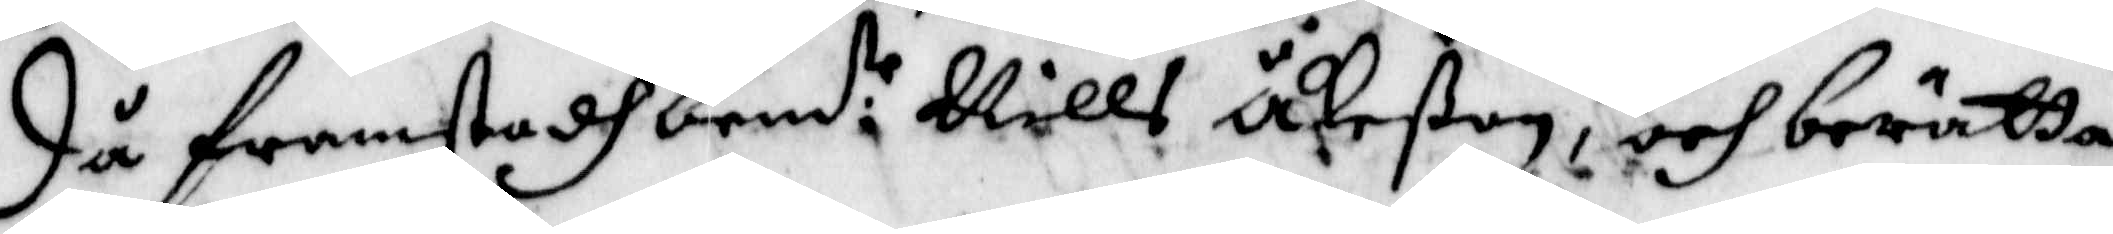Då framstodh bem:te Nills Åkeßon, och berätta¬
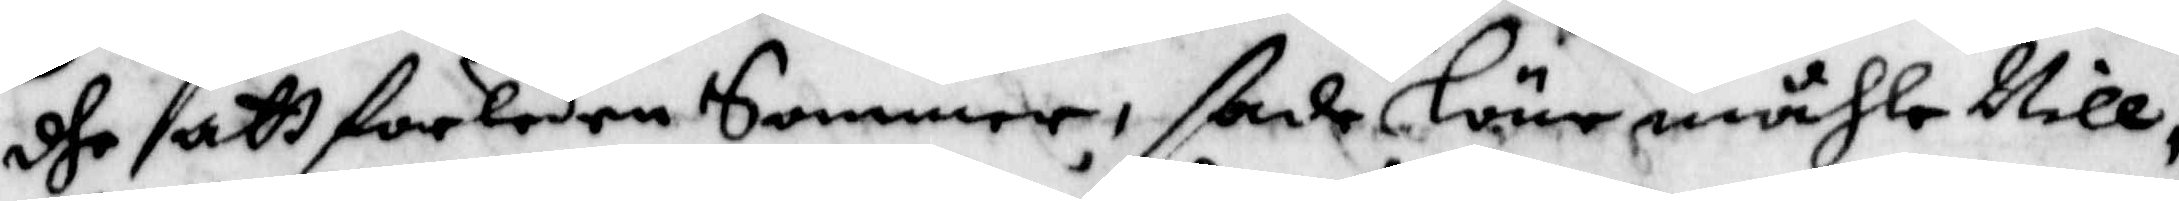dhe att forleden Sommar, ßade Lönemåhle Nill¬
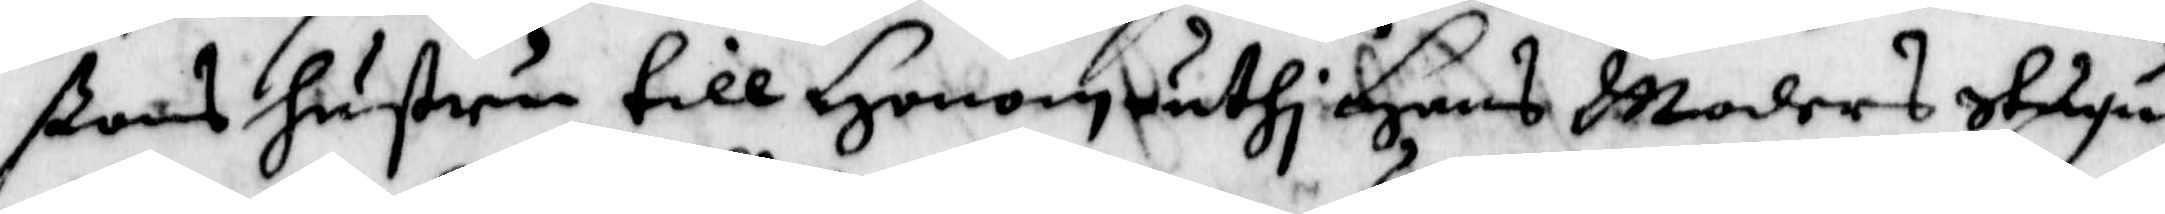ßons hustru till Honom, uthi Hans Moders Stugu
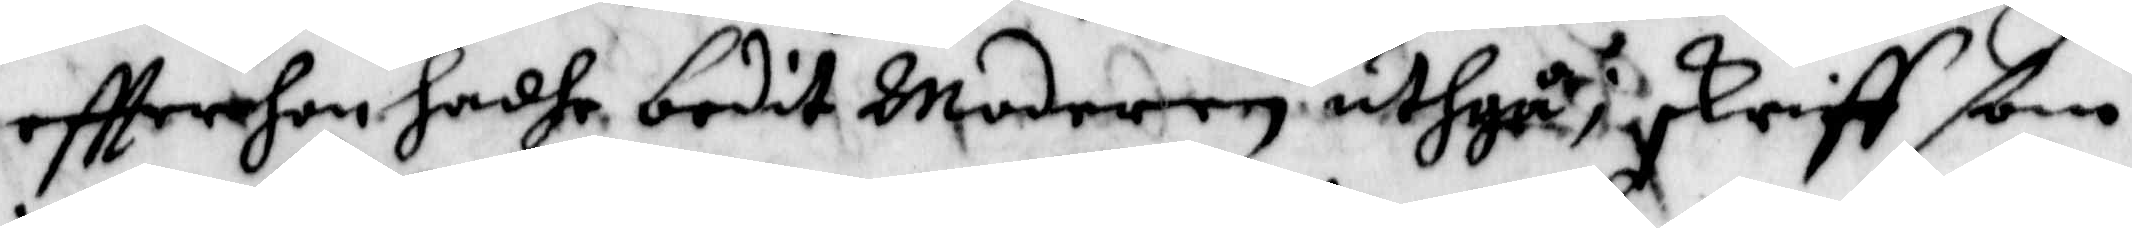eftter hon hadhe bedit Moderen uthgåå; skriff ßom
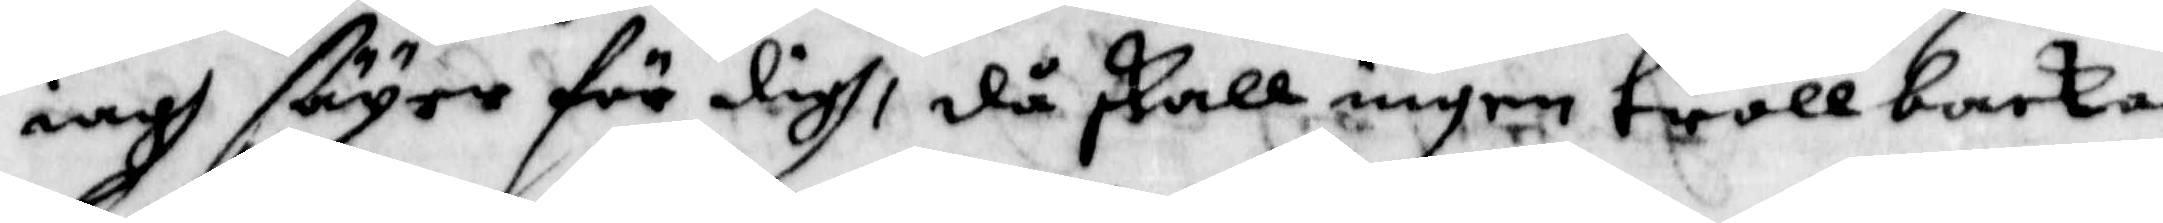iagh säger för digh, då skall ingen trollbacka
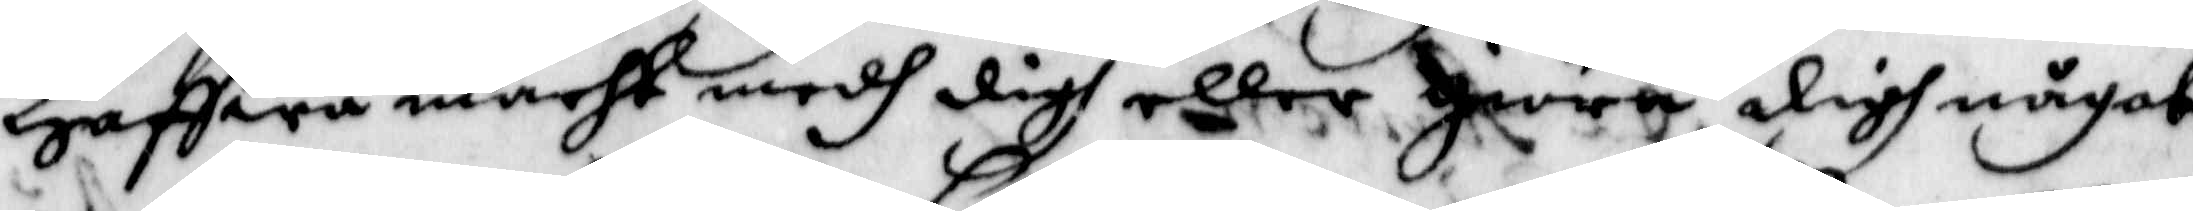Haffwa macht medh digh eller giöra digh något
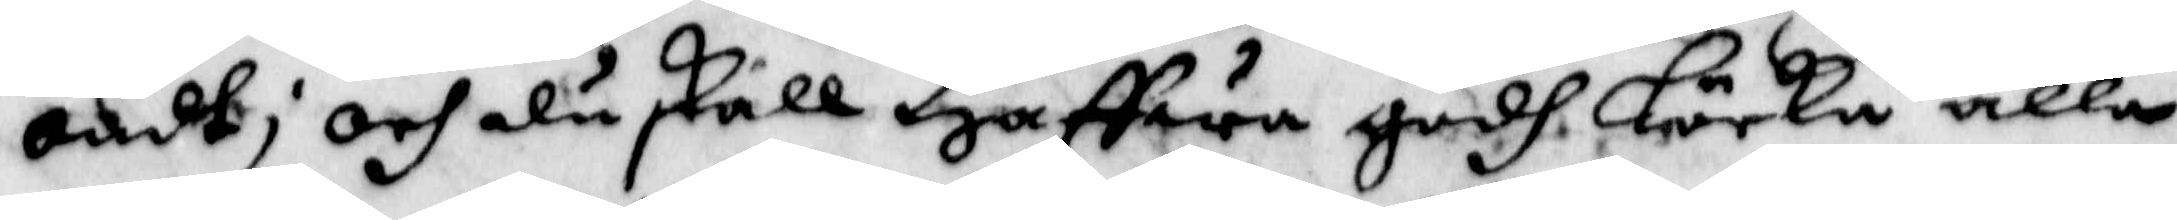ondt; och du skall Haffwa godh Löcka alla
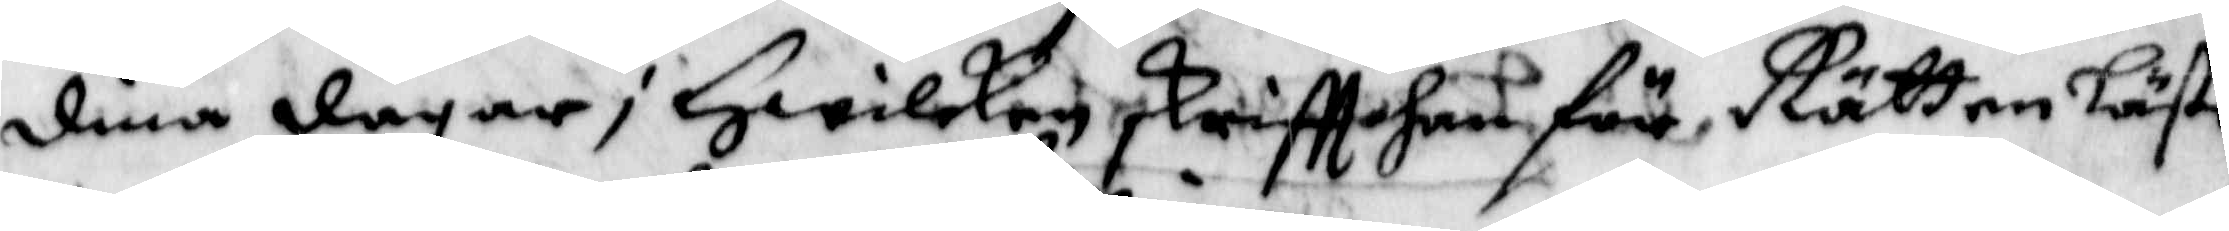fina dagar; Hwilken skriftt han för Rätten Läste
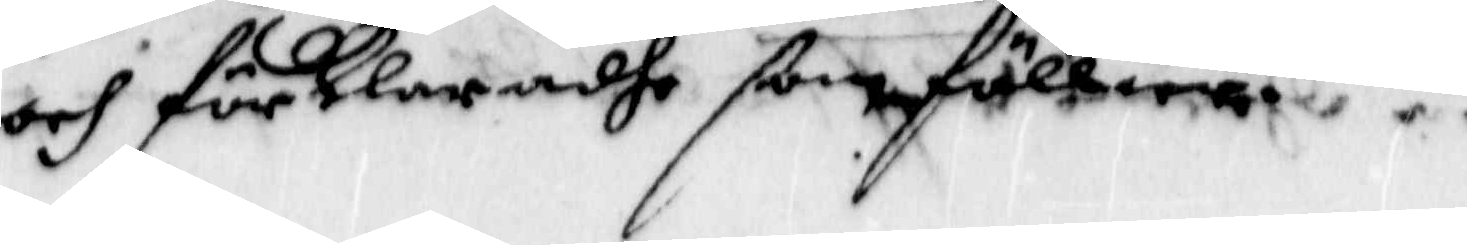och förklaradhe ßom föllier.
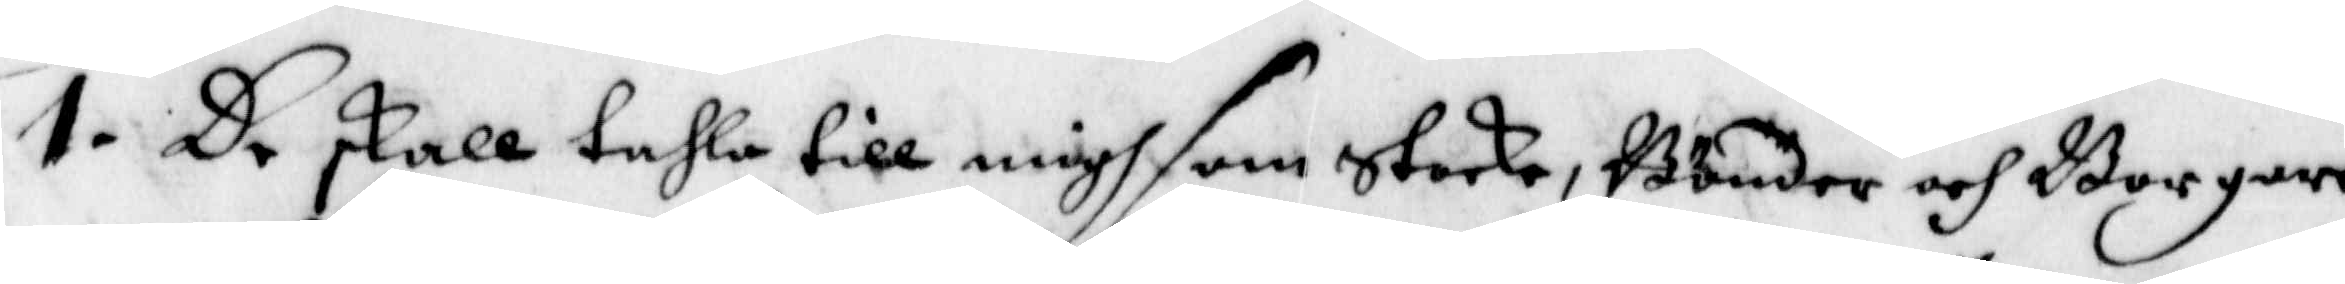1. De skall tahla till migh som Starke, Bönder och Borgare 
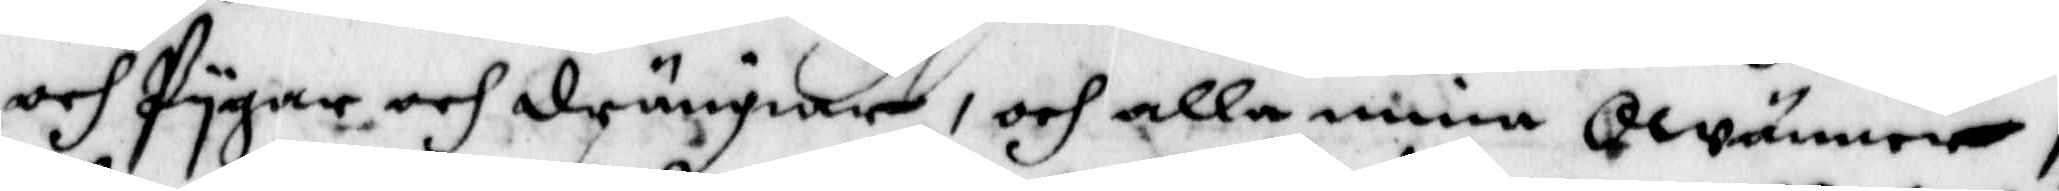och Pygar och drängiar, och alla mina Qwinnor,
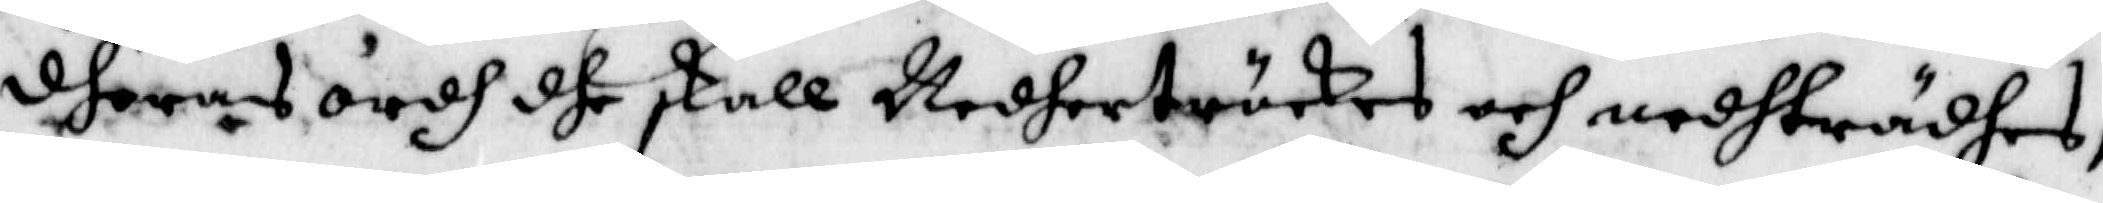dheras ordh dhe skall Nedhertröckes och nedherrädhes,
